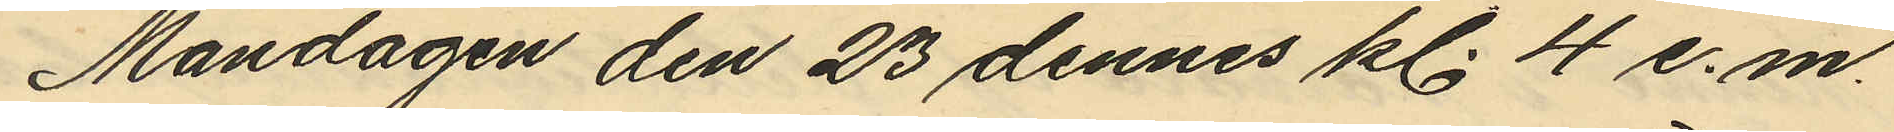Måndagen den 23 dennes kl. 4 e.m.
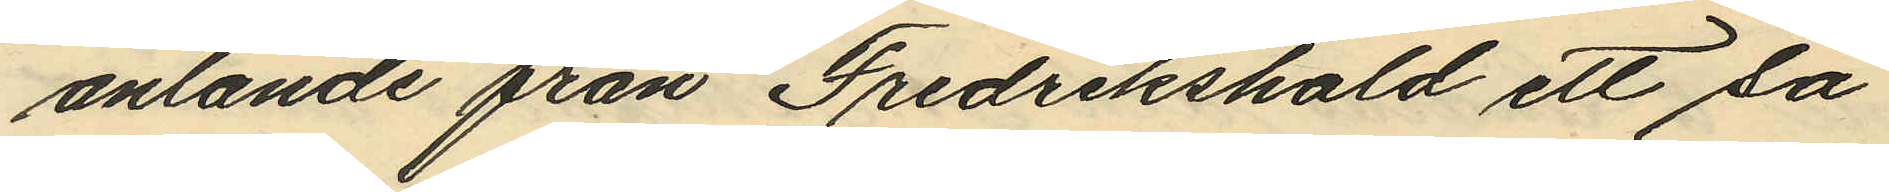anlände från Fredrikshald ett så
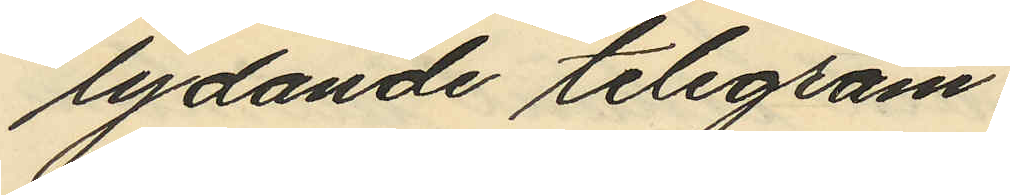lydande telegram.
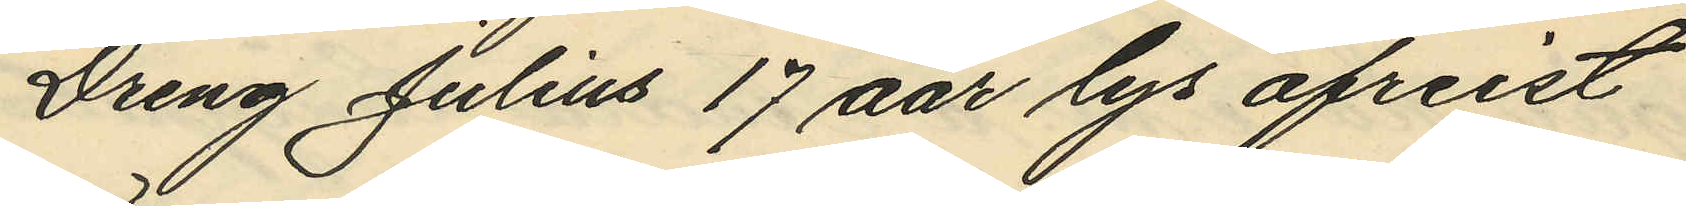Dreng Julius 17 aar lys afreist
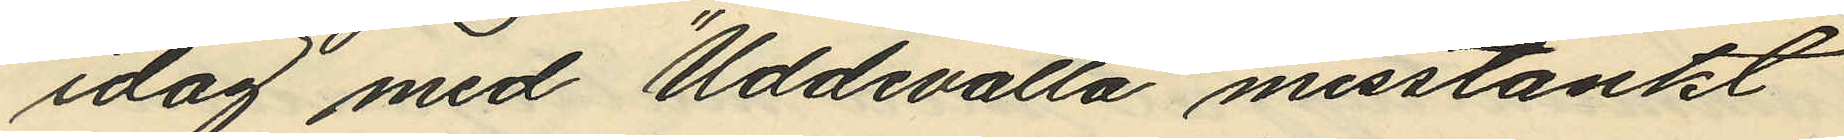idag med "Uddevalla" misstänkt
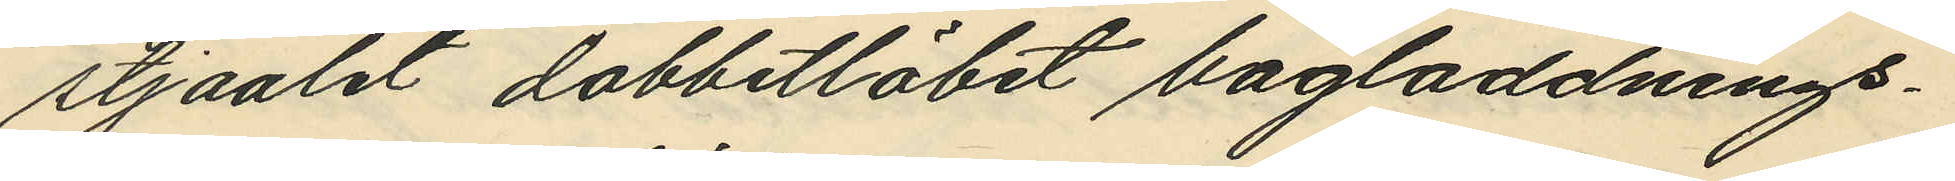stjaalet dobbetlöbet bagladdnings¬
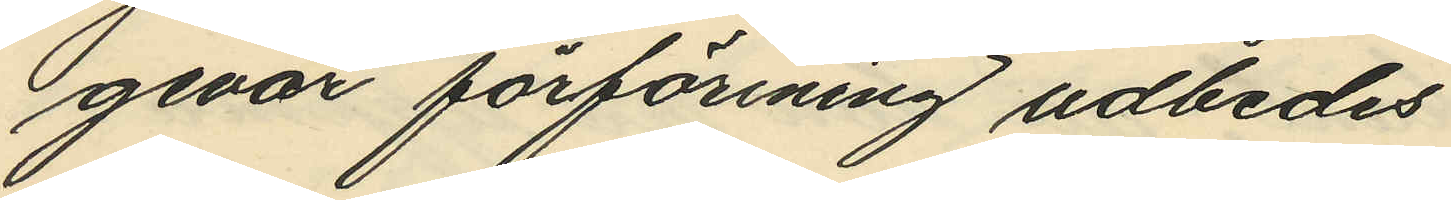gevär förförining udbedes
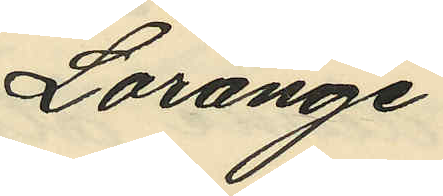Lorange
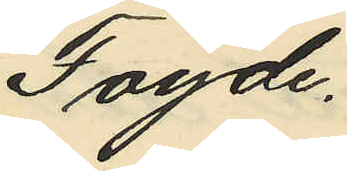Fogde.
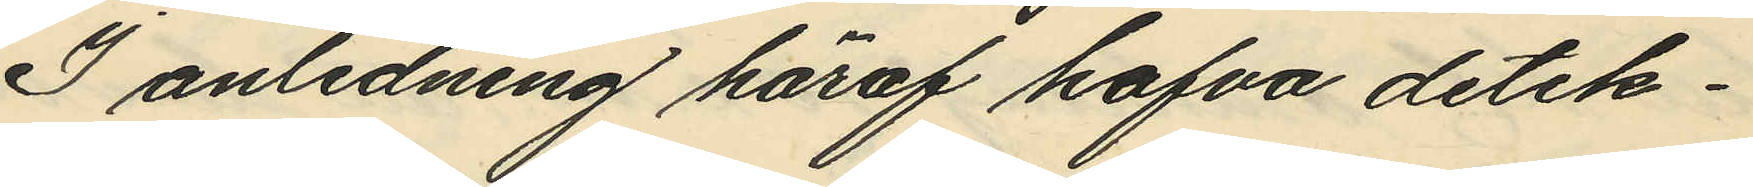I anledning häraf hafva detek¬
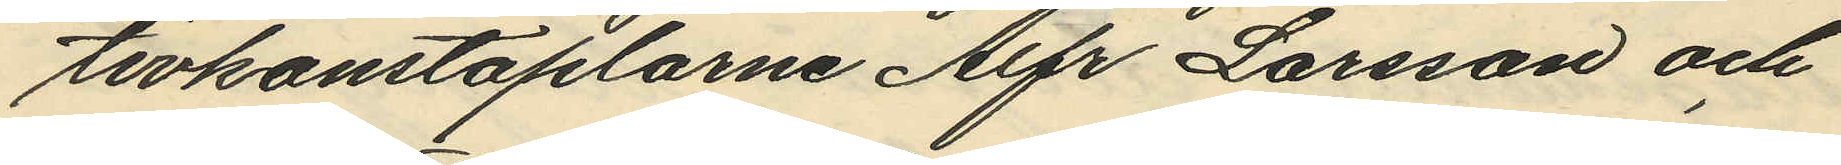tivkonstaplarne Alfr Larsson och
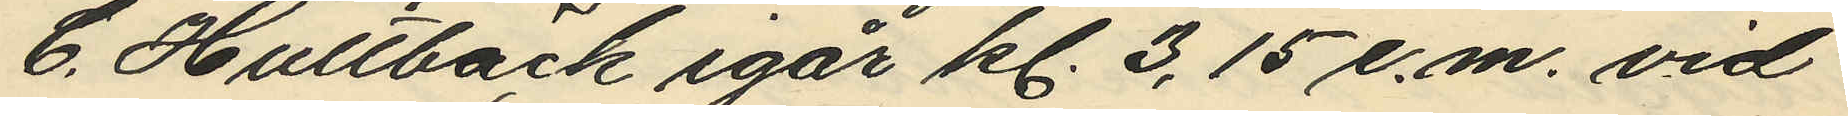C. Hullbäck igår kl. 3,15 e.m. vid
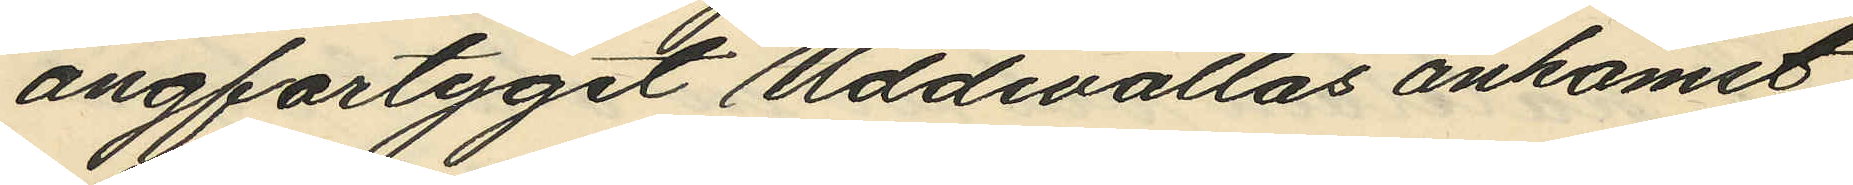ångfartyget Uddevallas ankomst
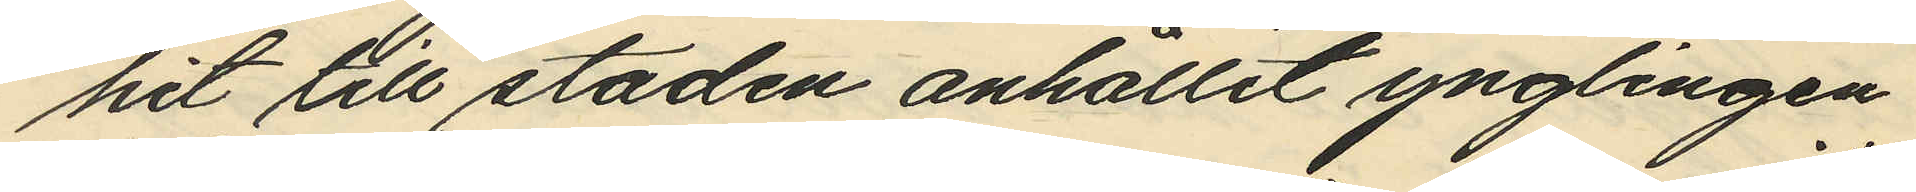hit till staden anhållit ynglingen
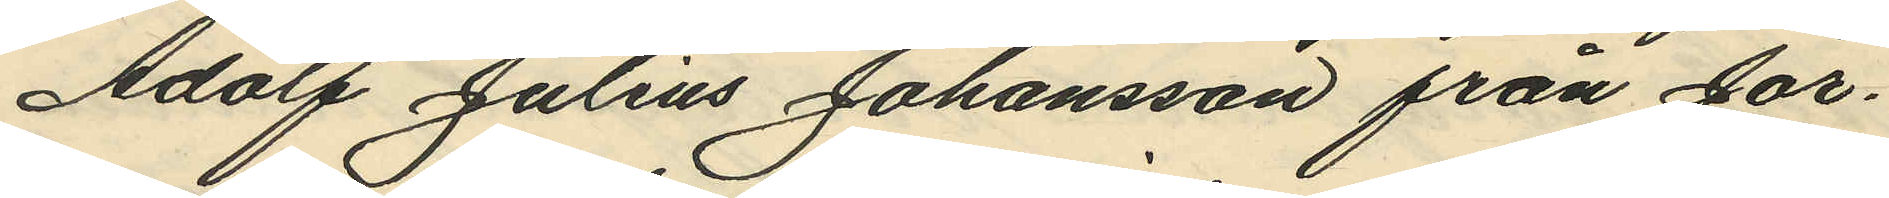Adolf Julius Johansson från Jör¬
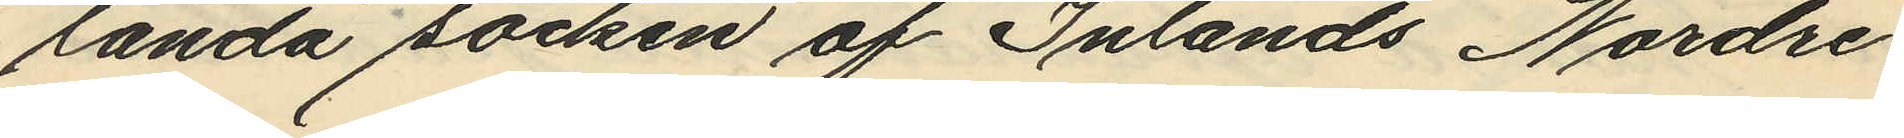landa socken af Inlands Nordre
